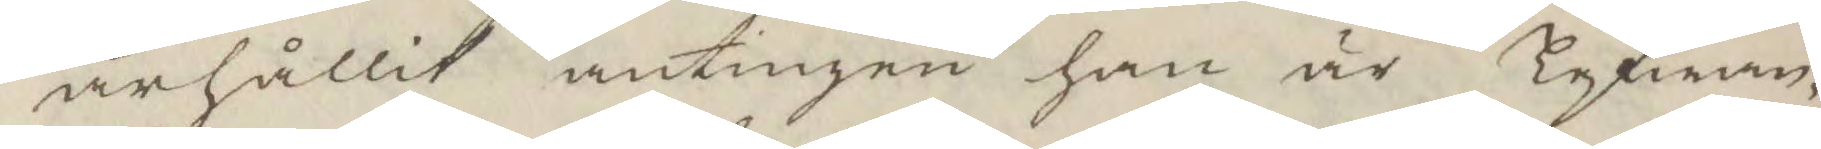ärhållit antingen han är lefwan¬
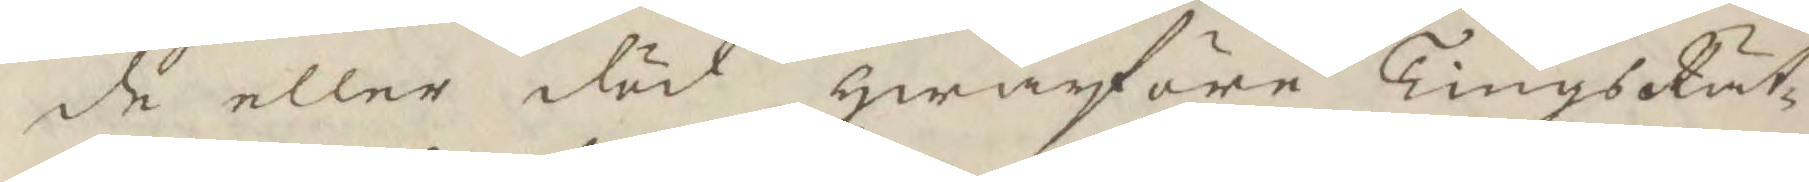de eller död hwarföre TingsRät¬
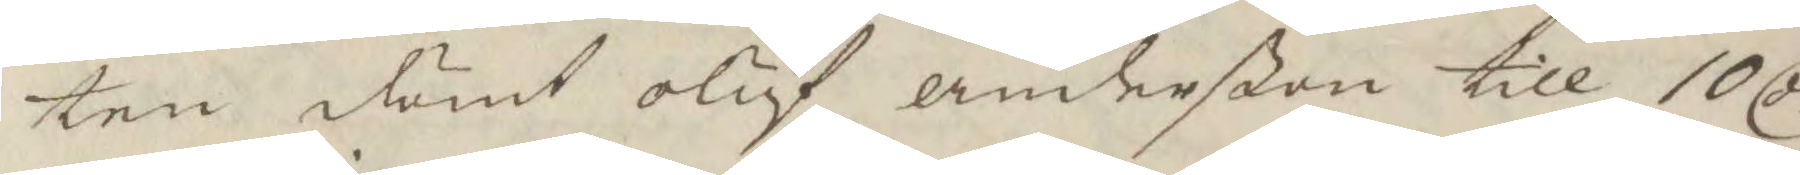ten dömt oluf anderßon till 10 Cr
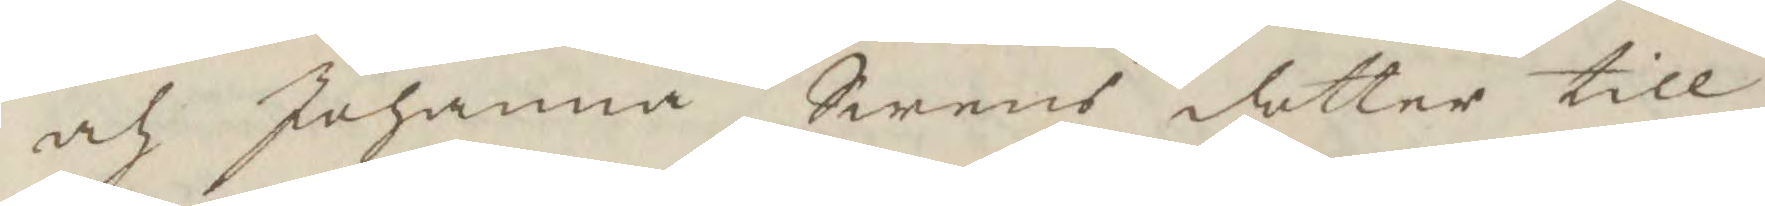och Johanna Swens dotter till
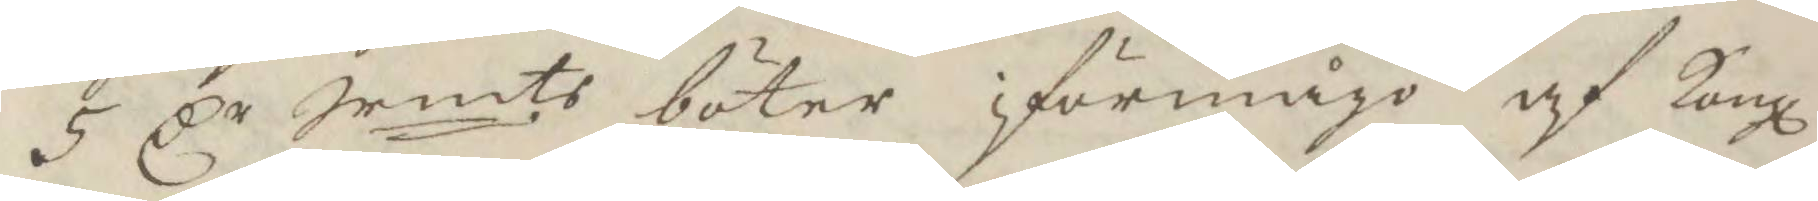5 Cr Srmts böter i förmågo af Kongl
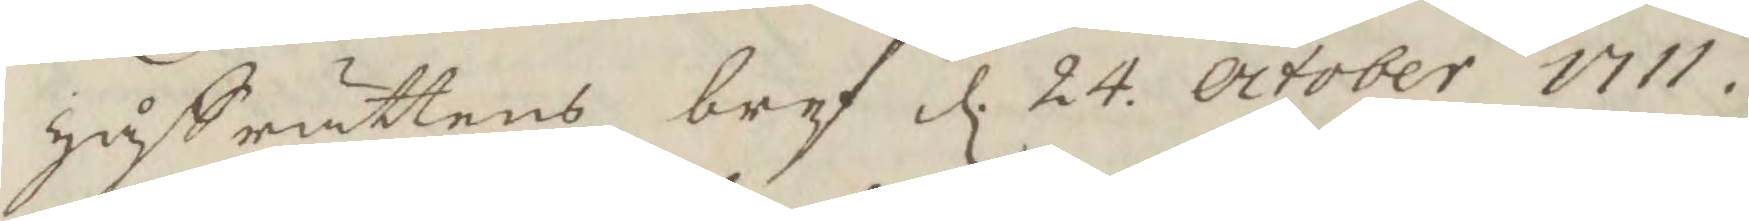håffrättens bref d. 24. october 1711.
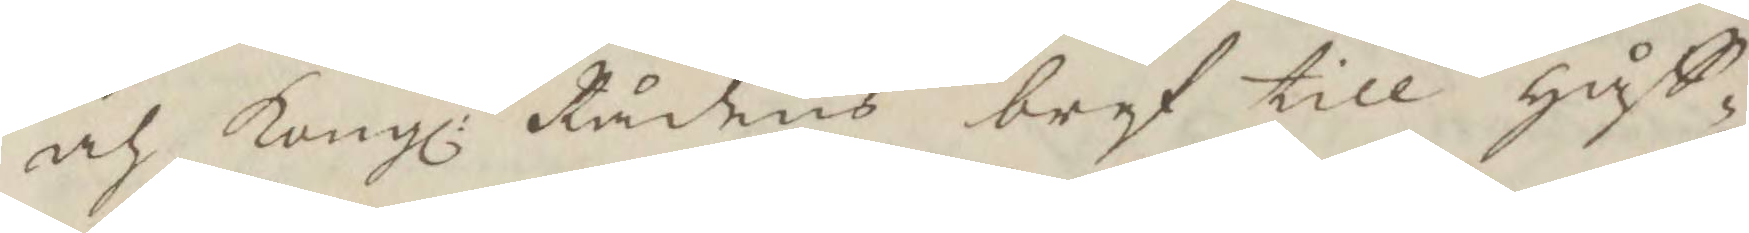och Kongl: Rådens bref till håff¬
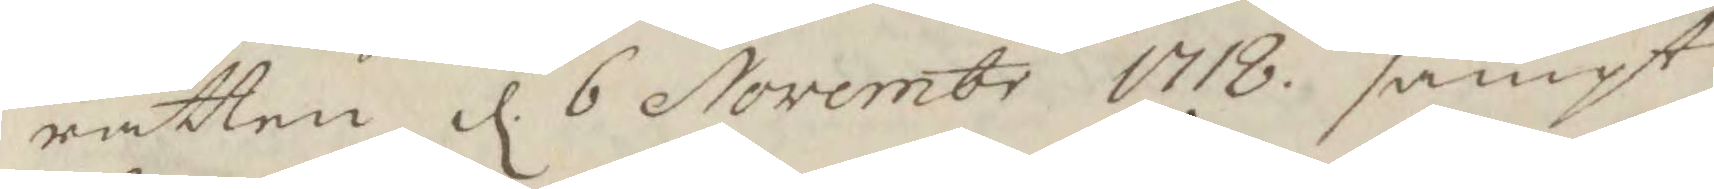rätten d. 6 Novembr 1718 sampt
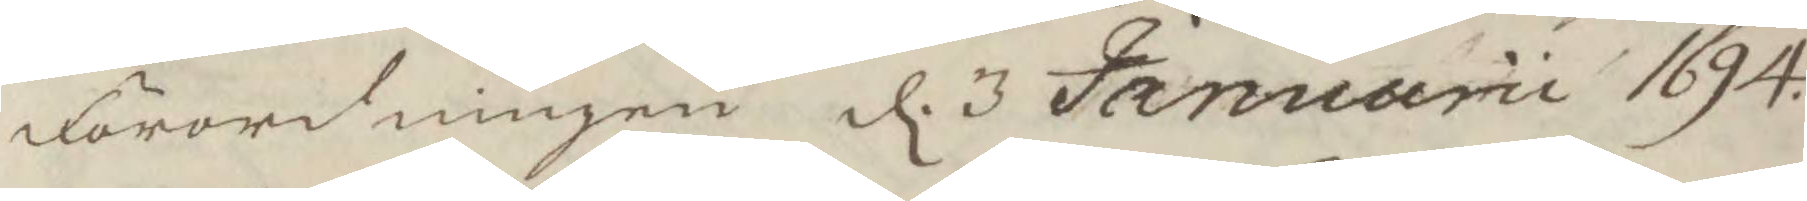förordningen d. 3 Januarii 1694.
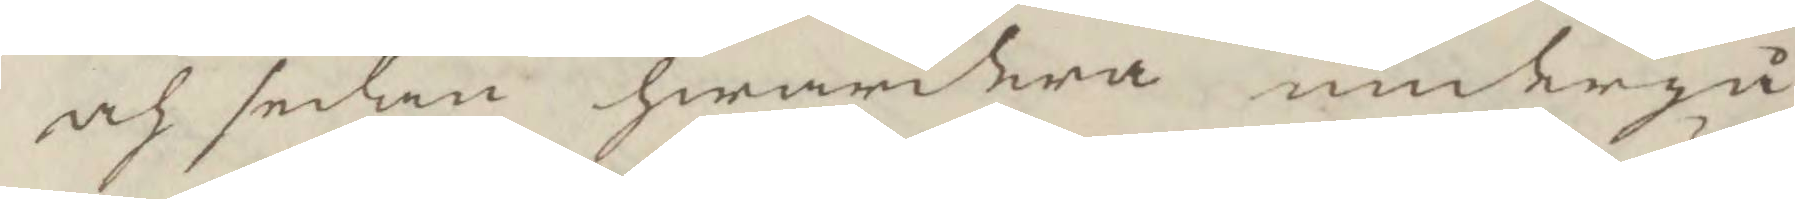och sedan hwardera undergå
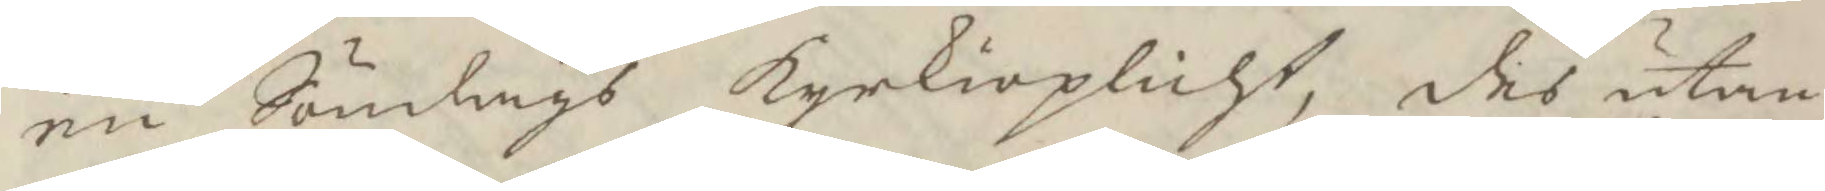en Söndags Kyrkioplicht, des utan
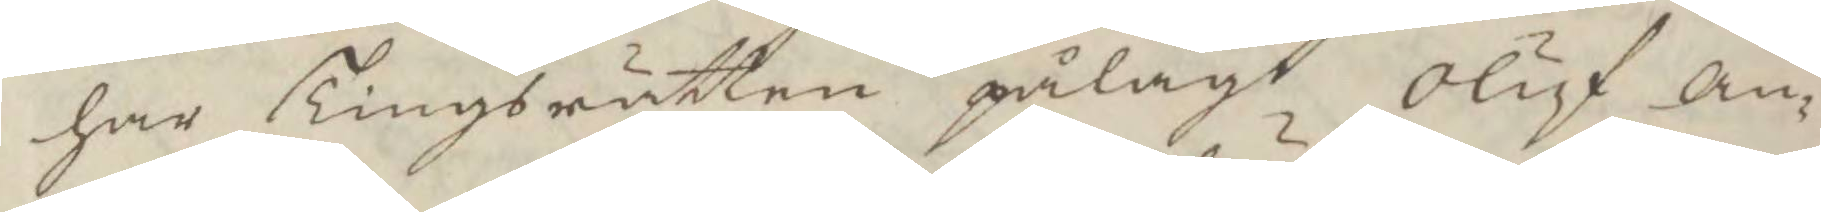har Tingsrätten pålagt Oluf an¬
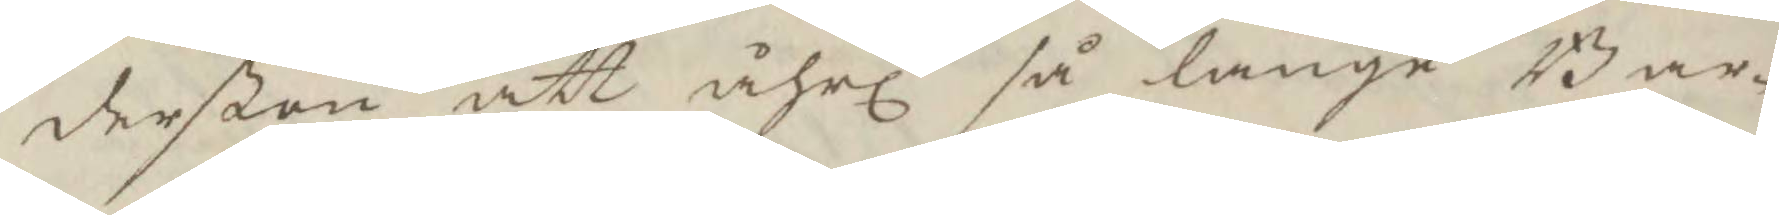derßon att åhrl så länge Bar¬
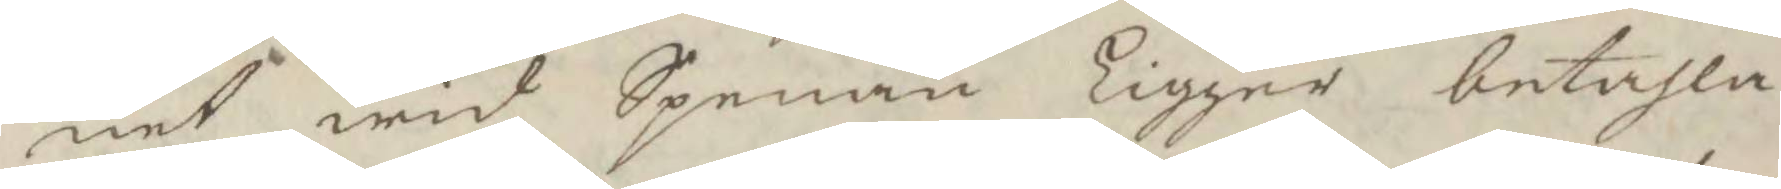net wid Spenan Ligger betahla
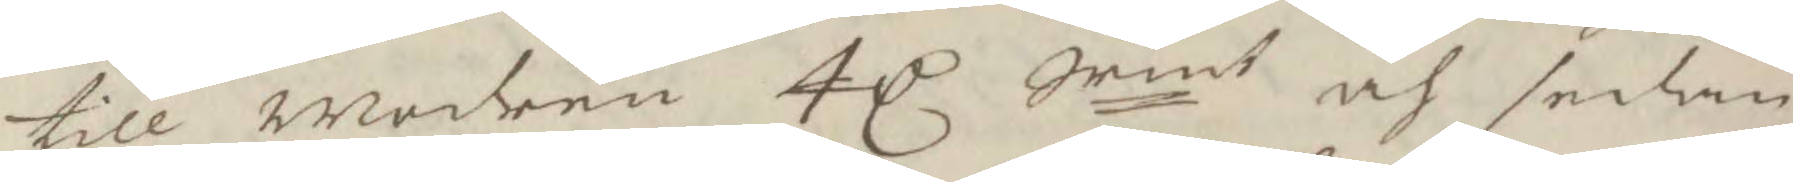till modren 4 C Srmt och sedan
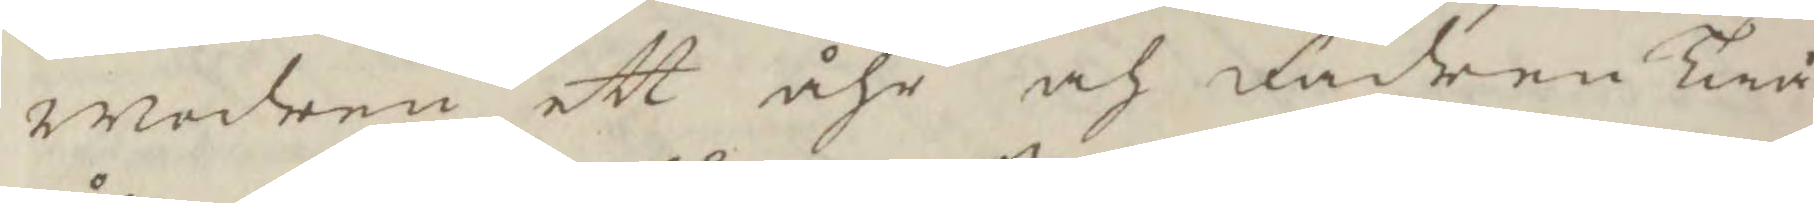Modren ett åhr och fadren Twå
